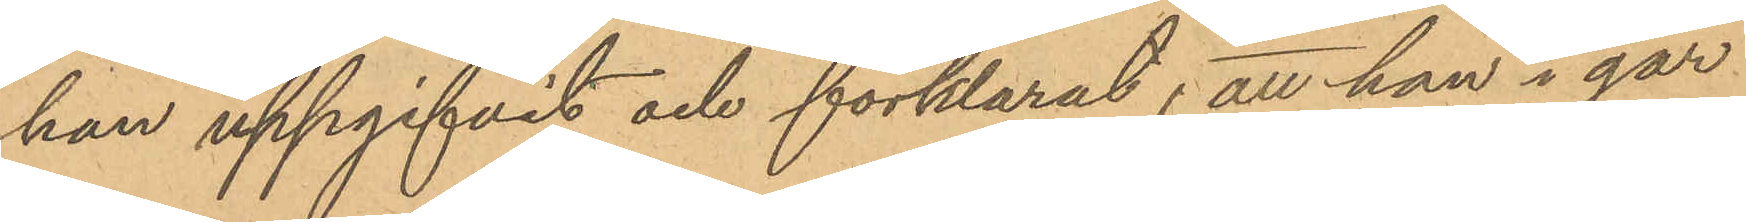han uppgifvit och förklarat; att han i går
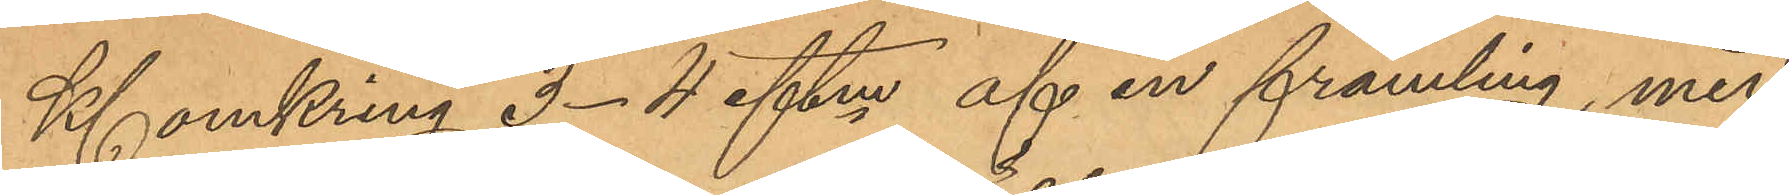Kl omkring 3-4 eftm af en främling, med
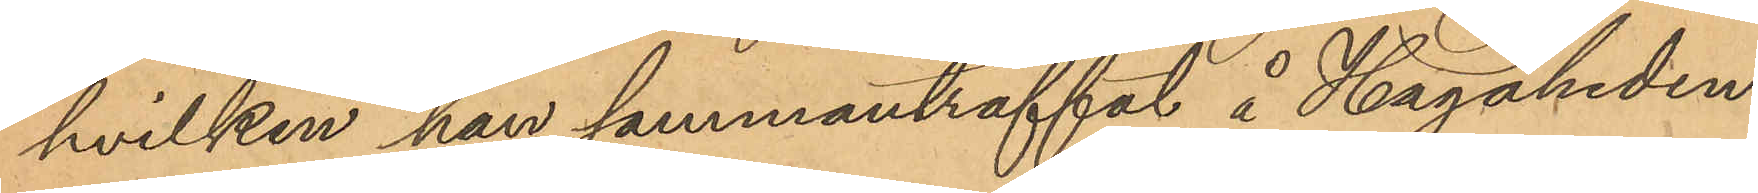hvilken han sammanträffat å Hagaheden
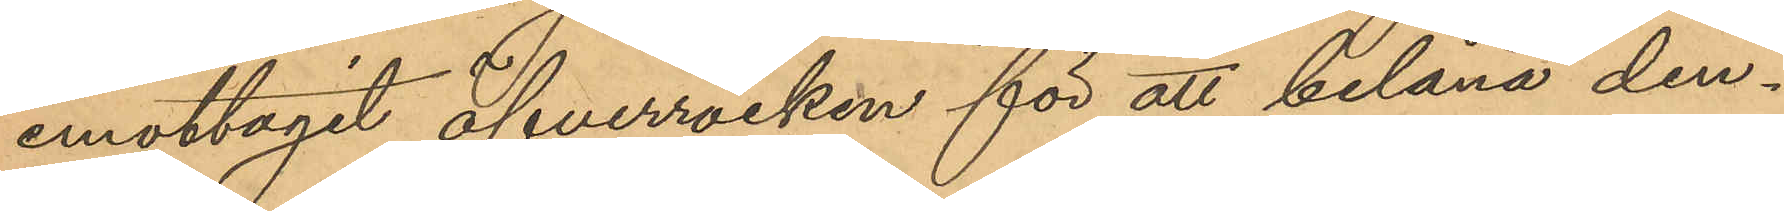emottagit öfverrocken för att belåna den¬
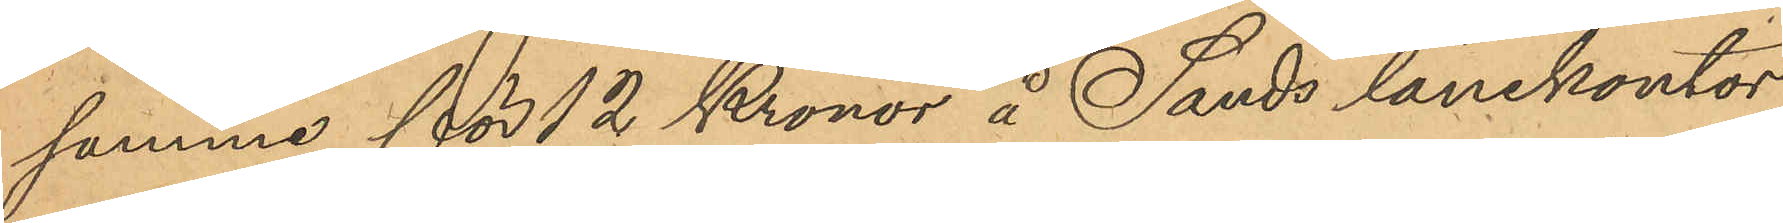samme för 12 Kronor å Sands lånekontor,
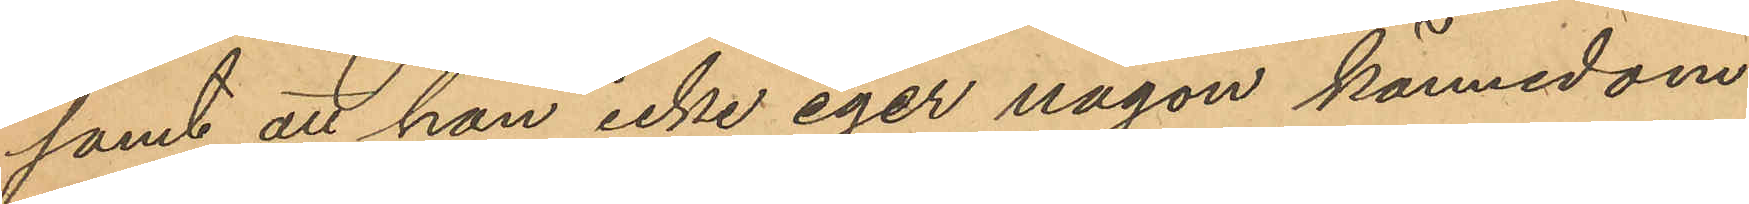samt att han icke eger någon kännedom
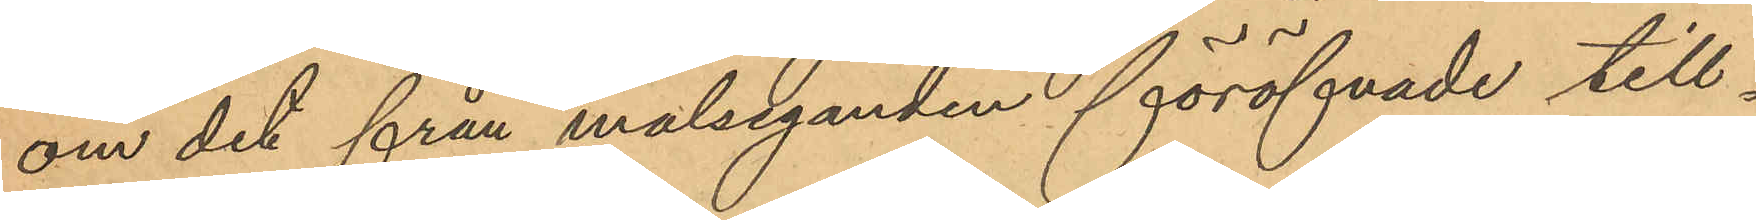om det från målseganden föröfvade till¬
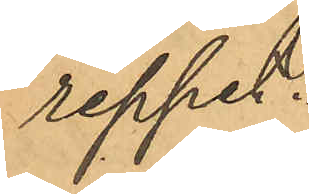reppet.
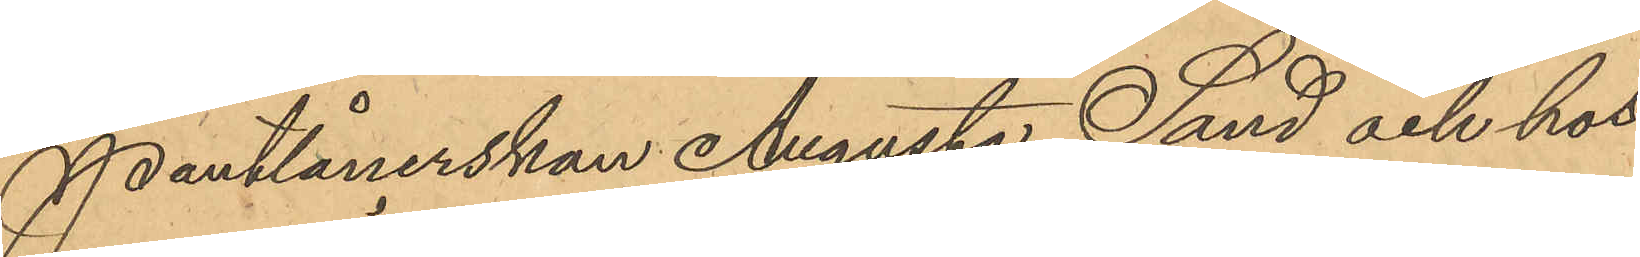Pantlånerskan Augusta Sand och hos
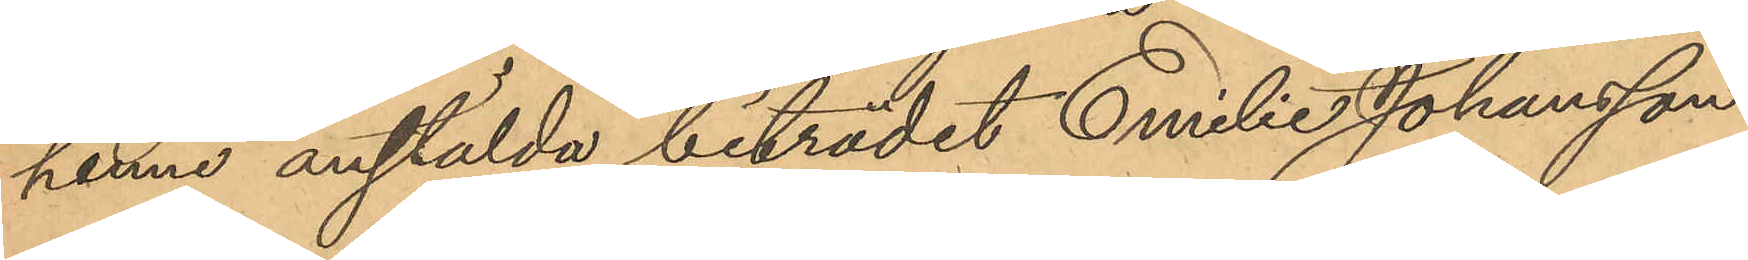henne anstälda biträdet Emilie Johansson,
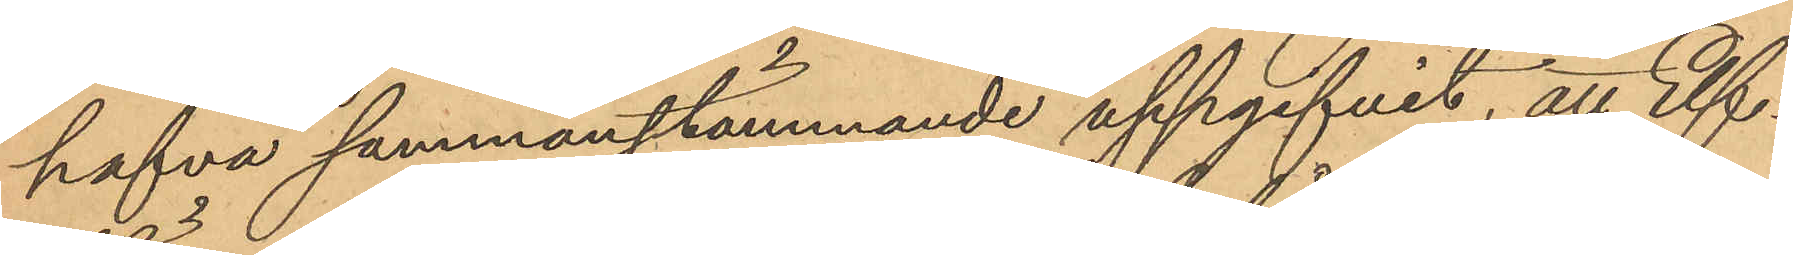hafva sammanstämmande uppgifvit, att Elf¬
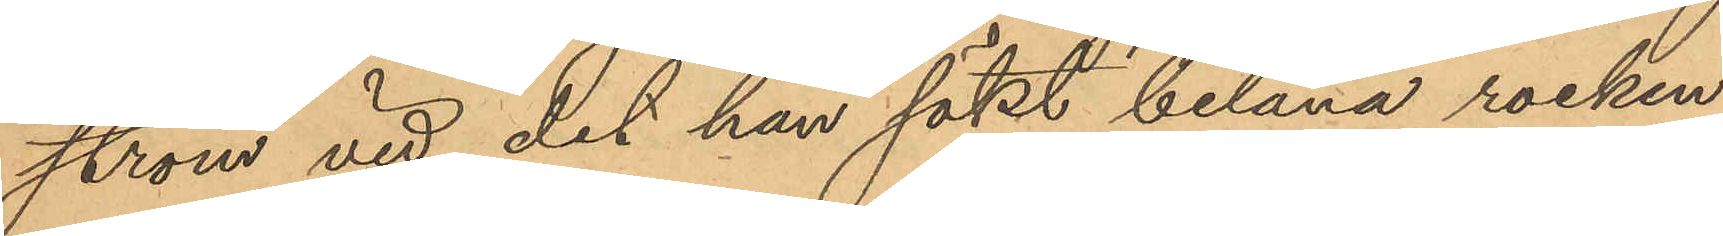ström vid det han sökt belåna rocken
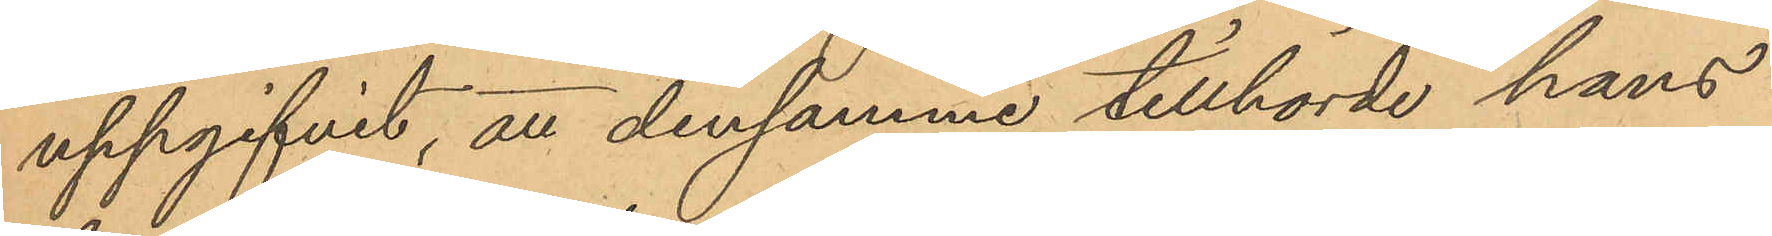uppgifvit, att densamma tillhörde hans
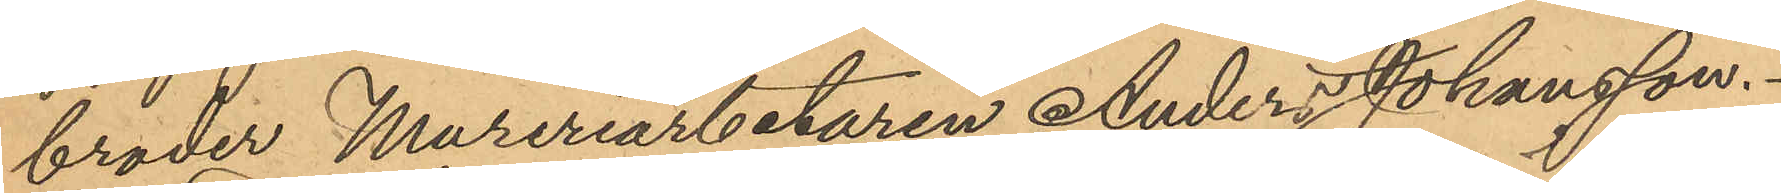broder Mureriarbetaren Anders Johansson.
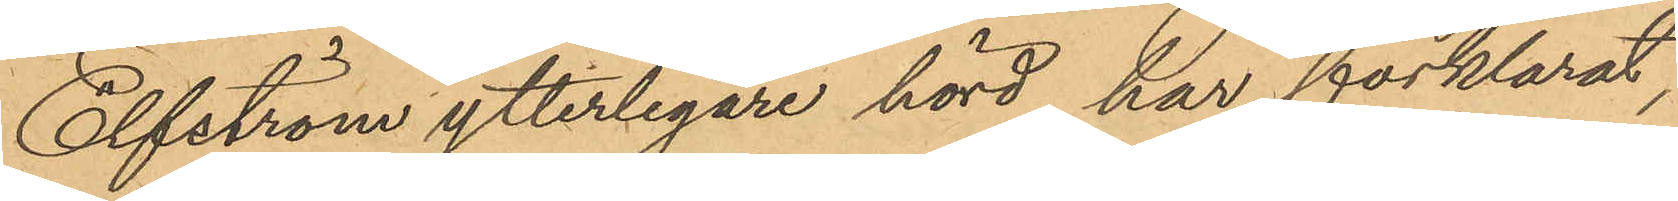Elfström ytterligare hörd har förklarat,
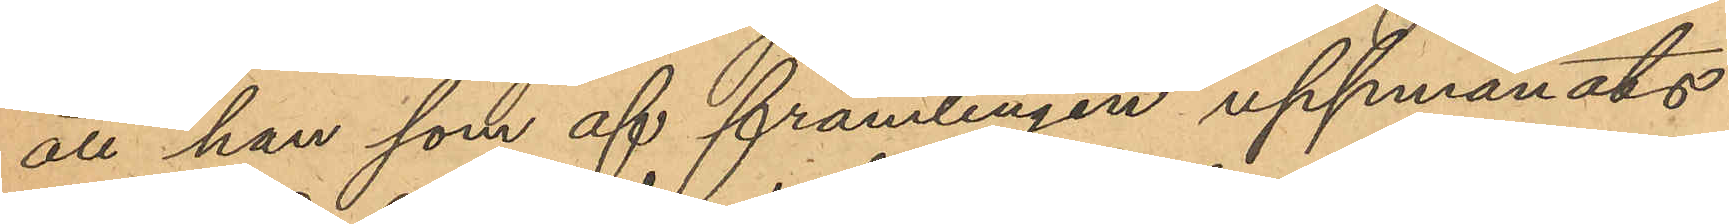att han som af främlingen uppmanats
